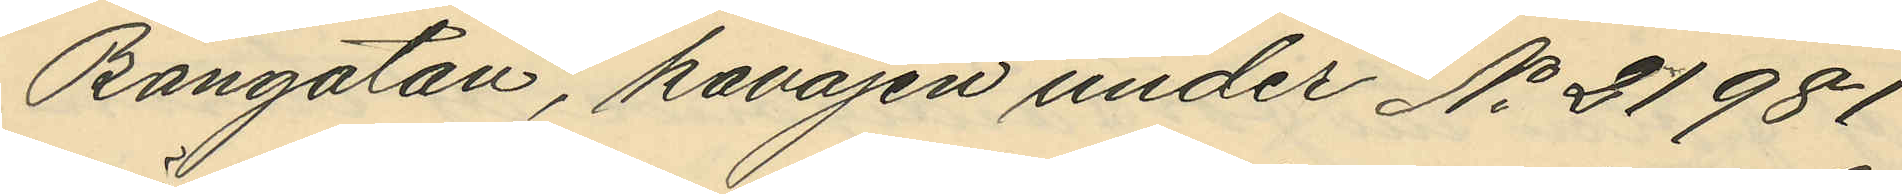Bangatan, kavajen under No 21981
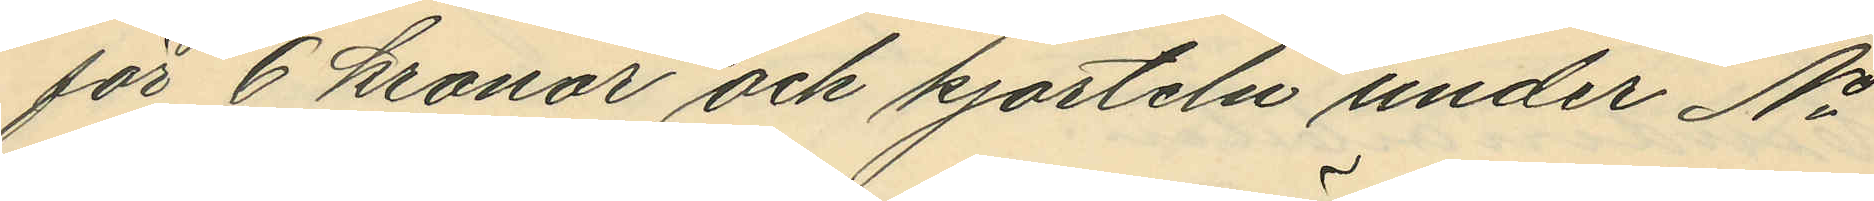för 6 kronor och kjorteln under No
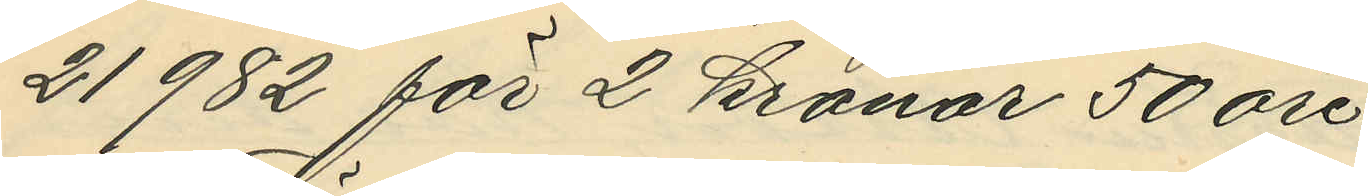21982 för 2 kronor 50 öre.
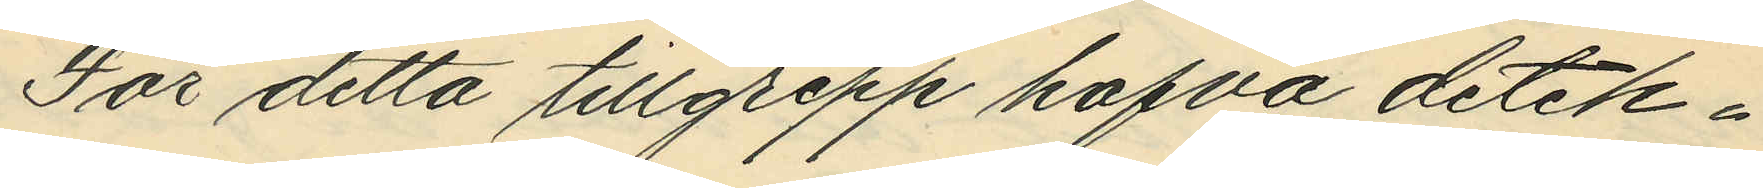För detta tillgrepp hafva detek¬
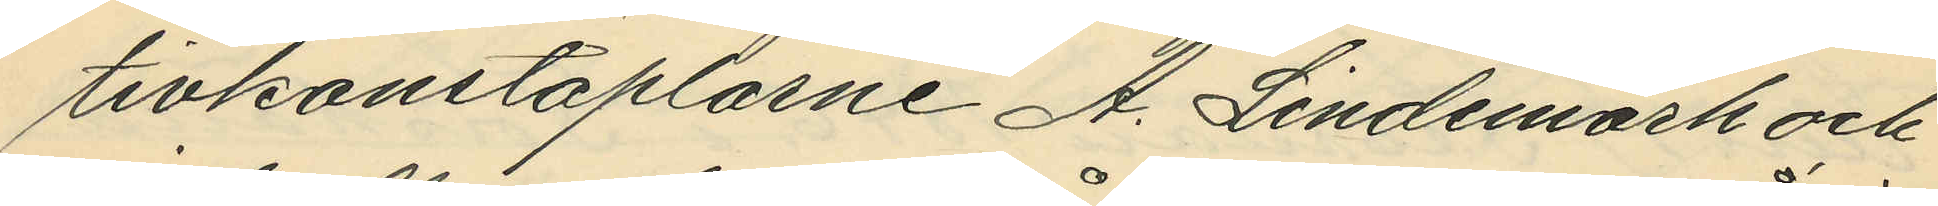tivkonstaplarne A. Lindemark och
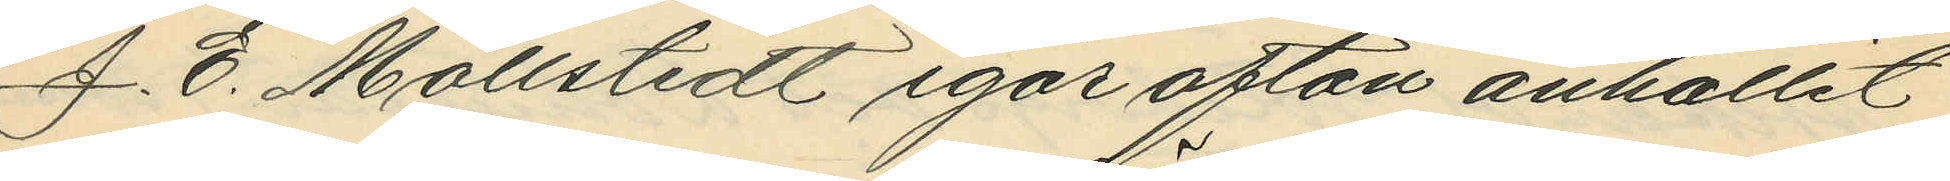J. E. Mollstedt igår afton anhållit
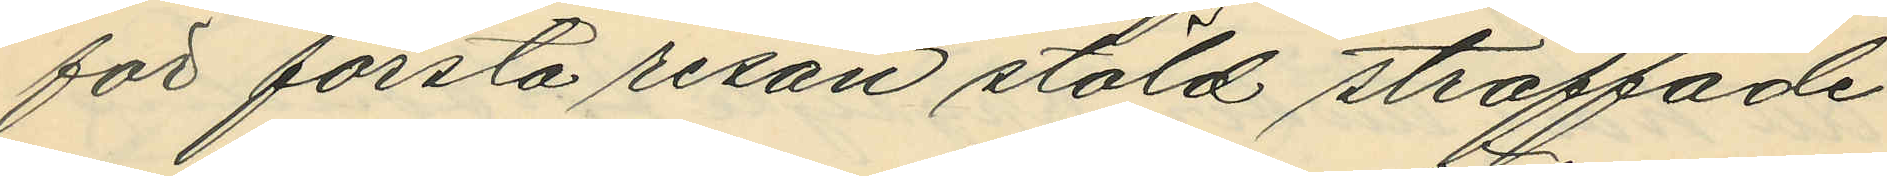för första resan stöld straffade
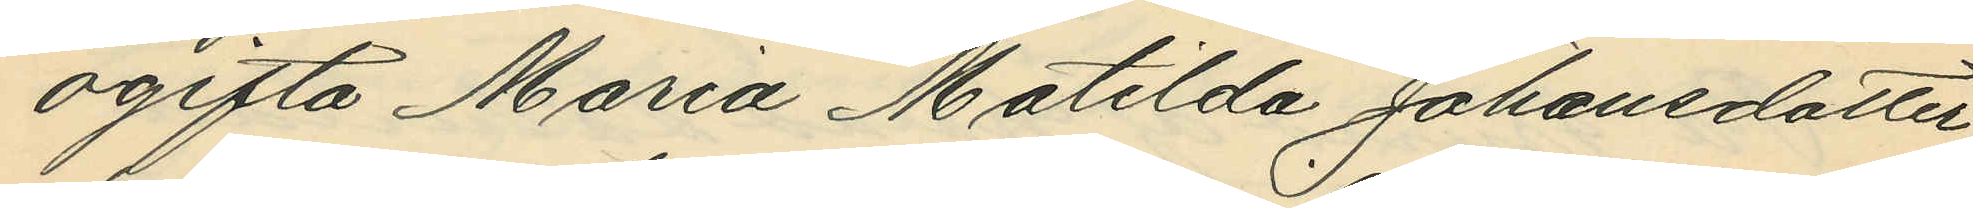ogifta Maria Matilda Johansdotter,
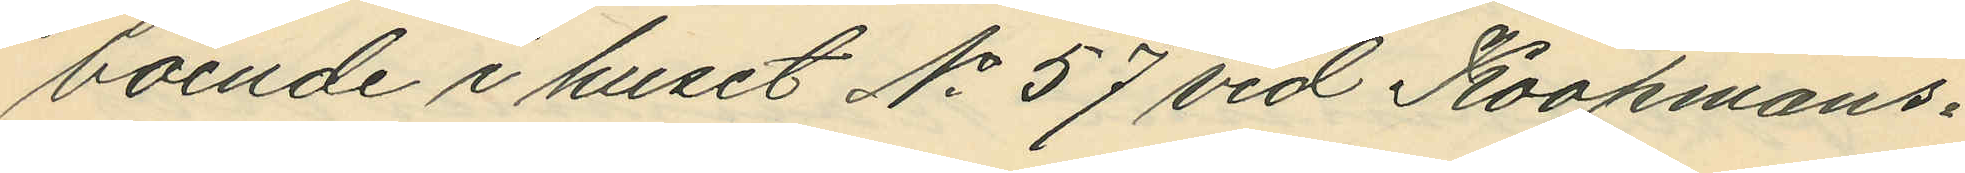boende i huset No 57 vid Koopmans¬
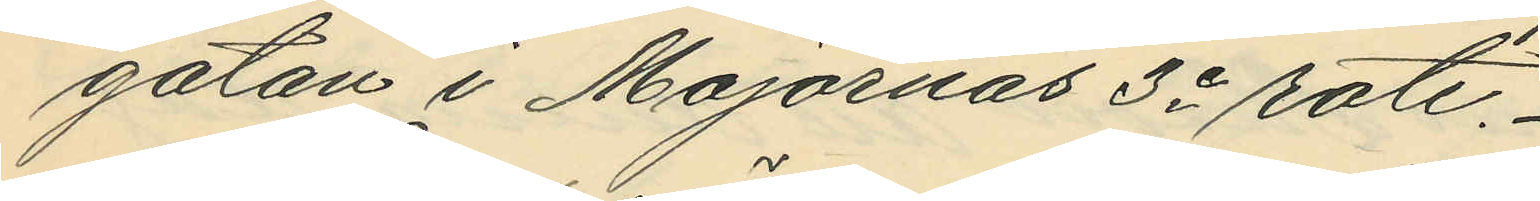gatan i Majornas 3e rote.
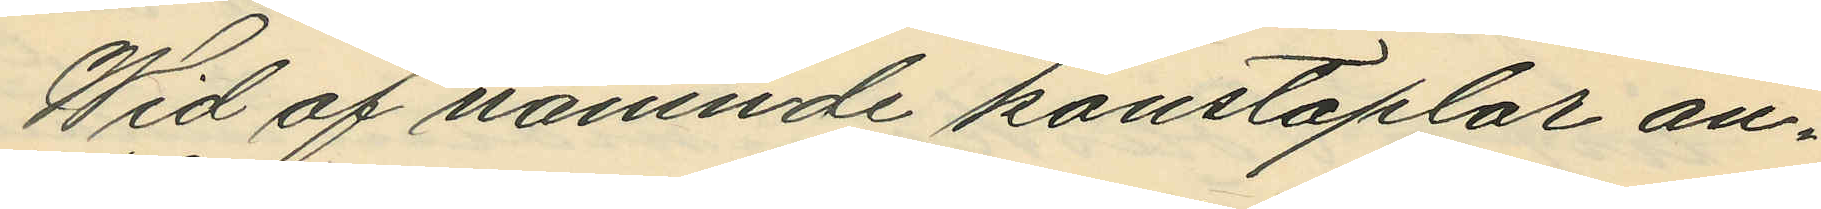Wid af nämnde konstaplar an¬
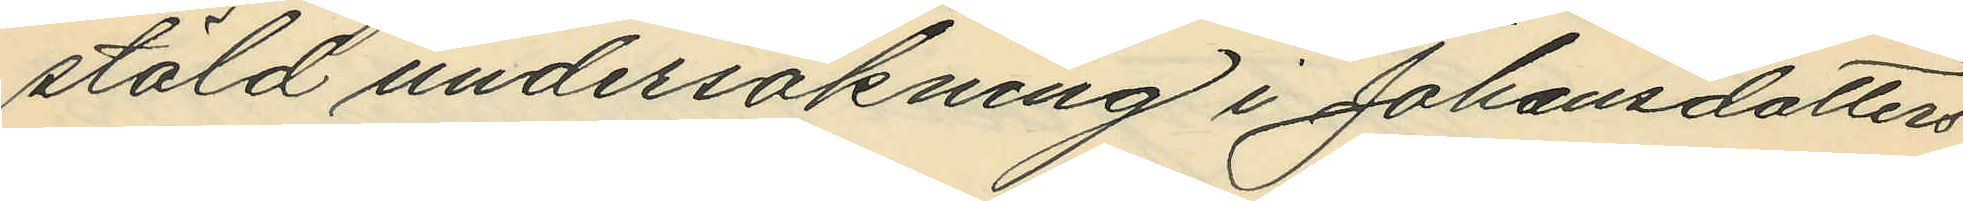stäld undersökning i Johansdotters
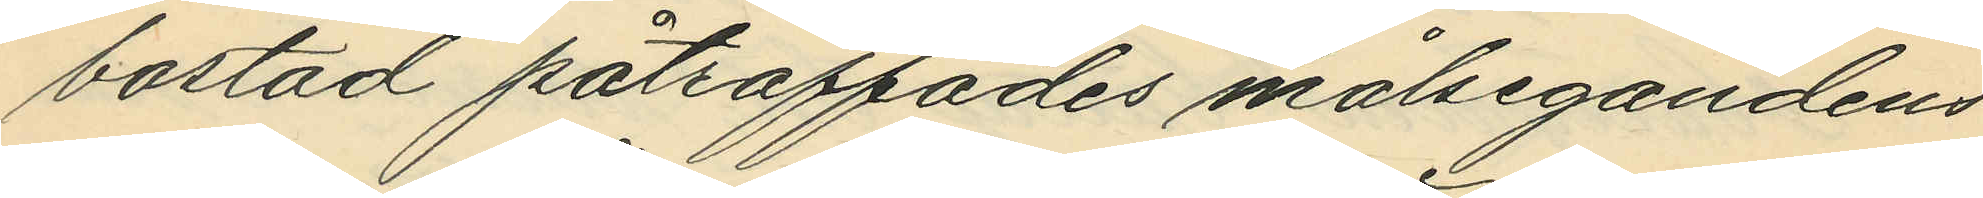bostad påträffades målsegandens
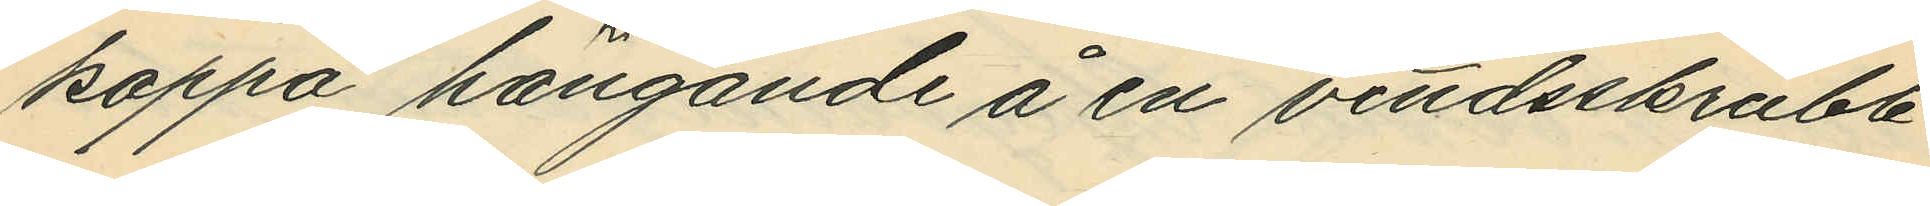kappa hängande å en vindsskrubb
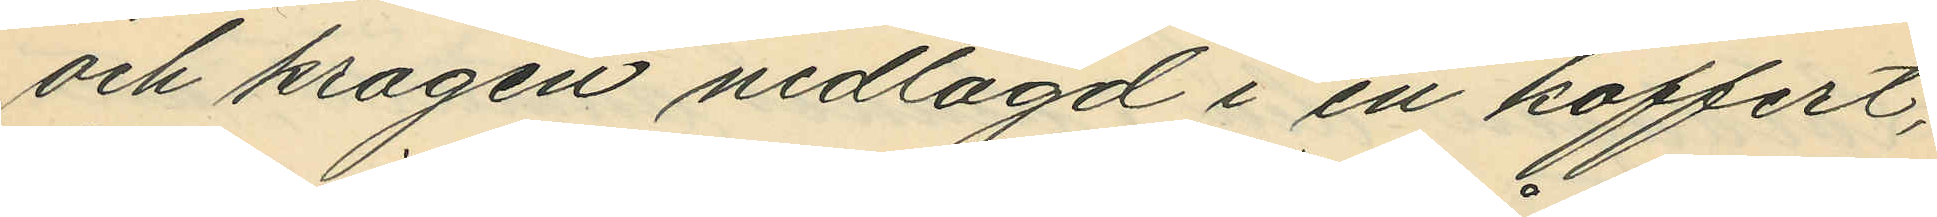och kragen nedlagd i en koffert,
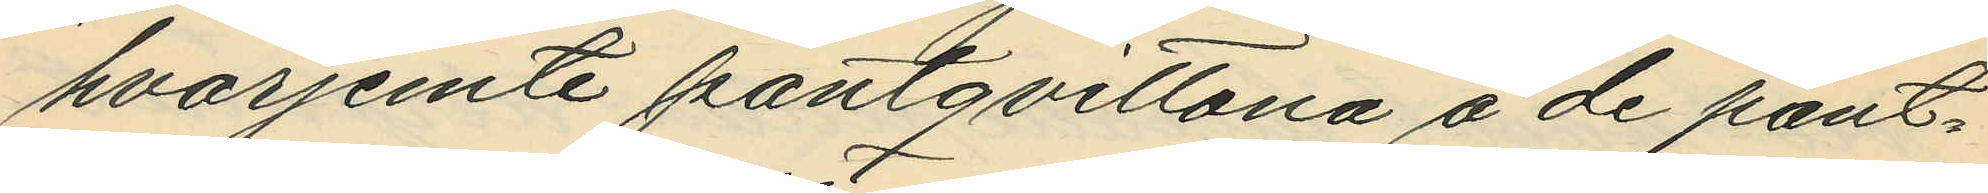hvarjemte pantqvittona å de pant¬
